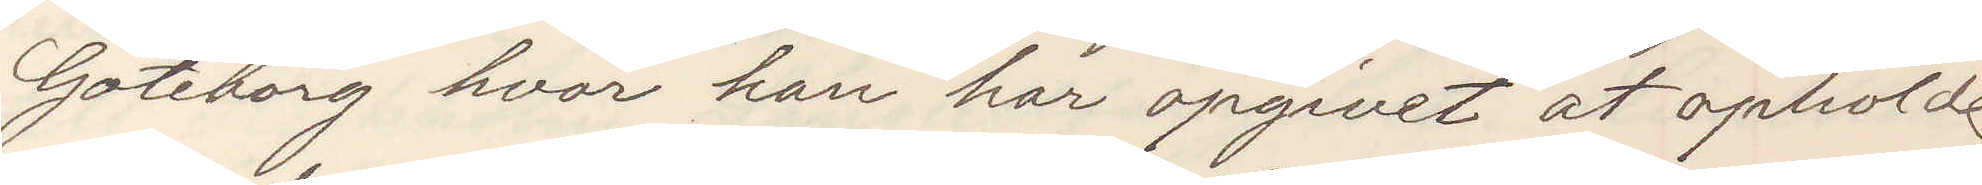Göteborg hvar han har opgivet at opholde
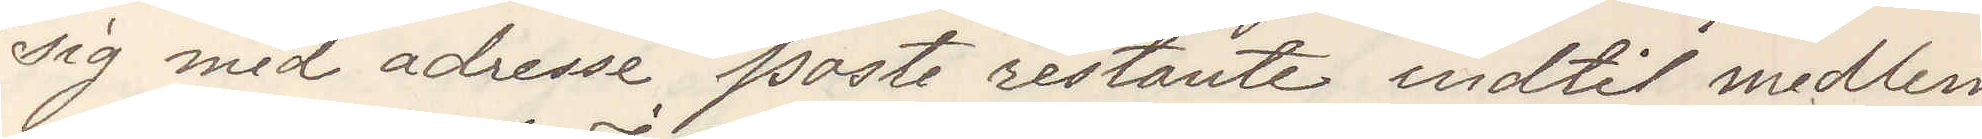sig med adresse poste restante indtil medlem
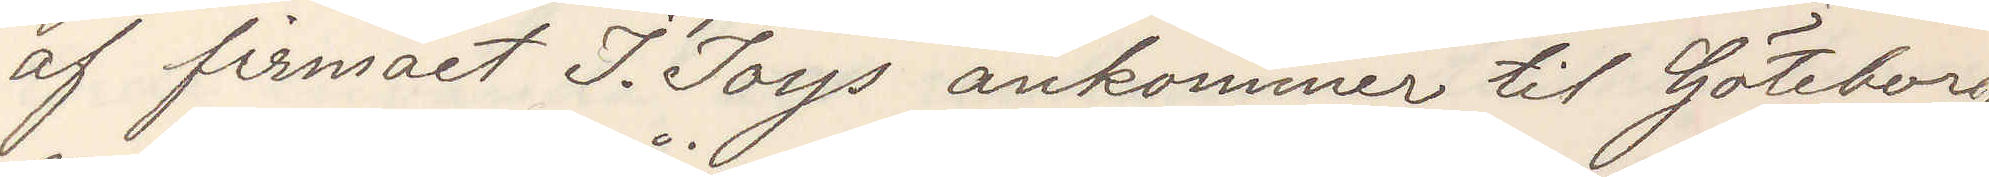af firmaet I. Ioys ankommer till Göteborg
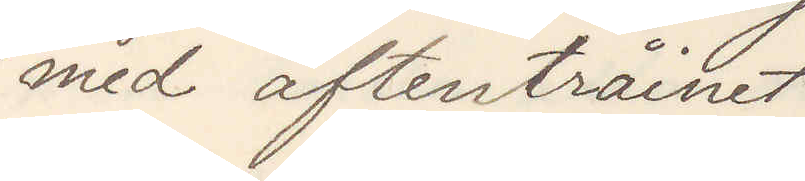med aftentråinet
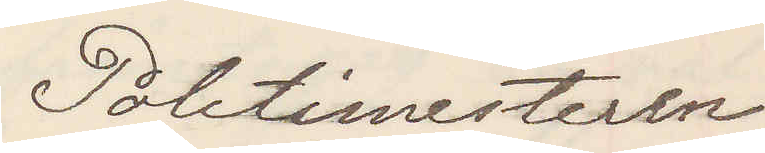Politimesteren
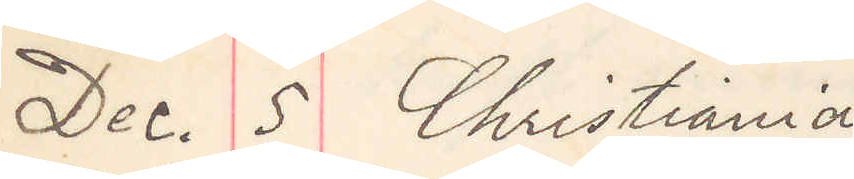Dec. 5 Christiania
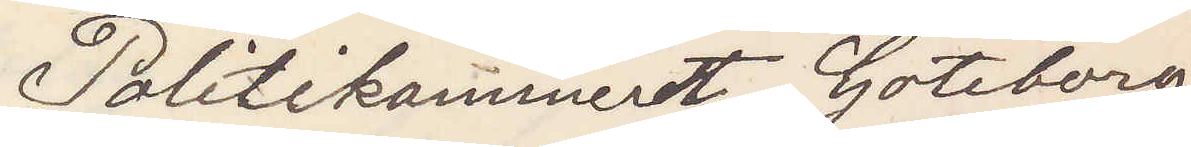Politikammeret Göteborg
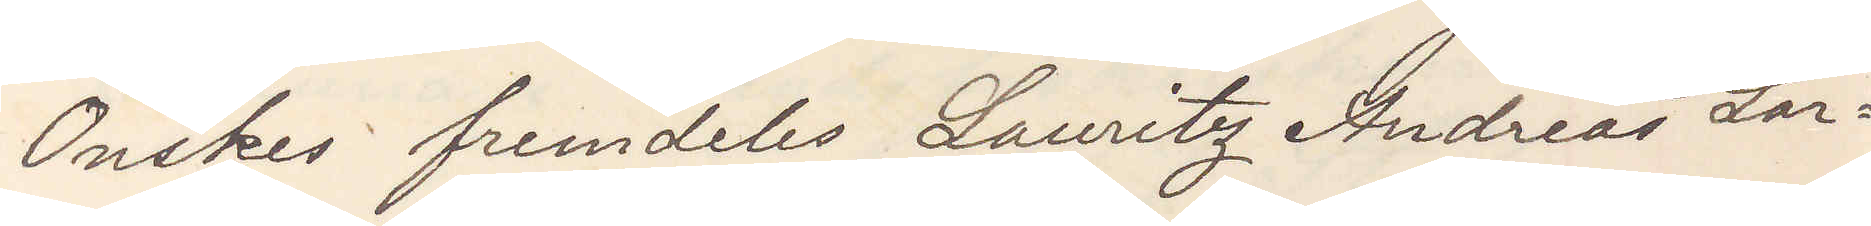Önskas fremdeles Lauritz Andreas Lar¬
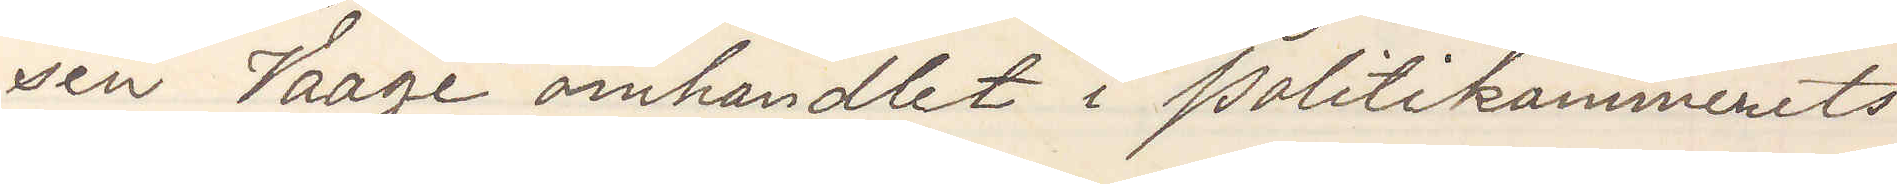sen Vaage omhandlet i Politikammerets
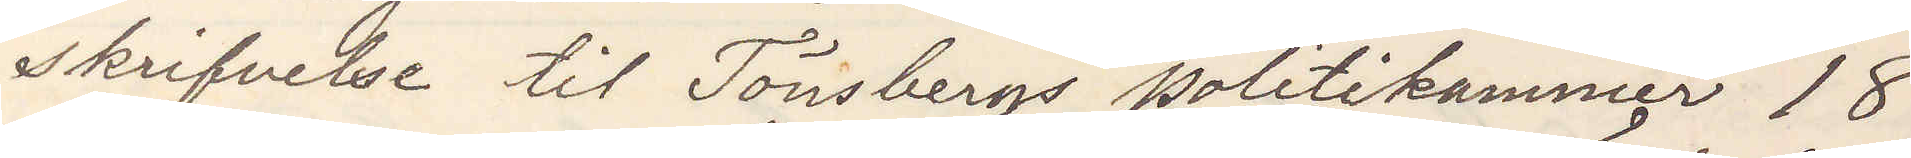skrifvelse til Tönsbergs politikammer 18
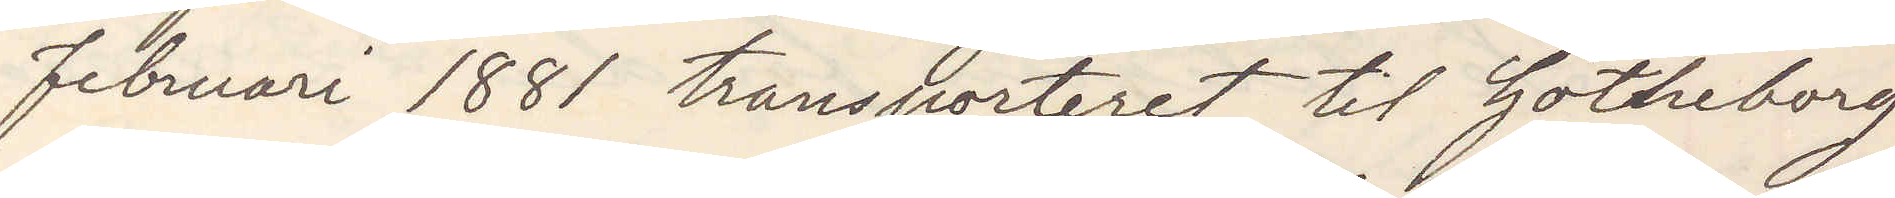februari 1881 transporteret til Götheborg
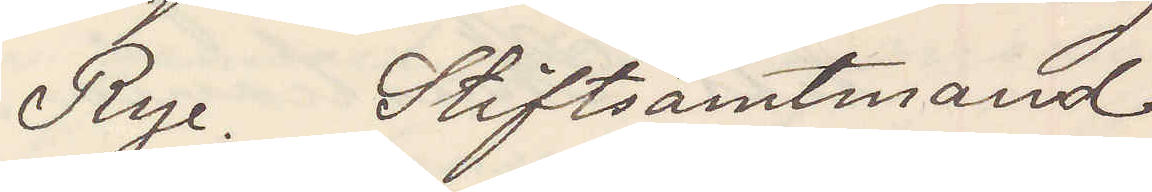Rye. Stiftsamtmand
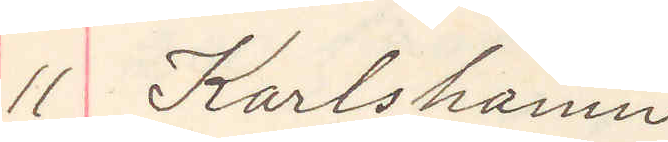11 Karlshamn
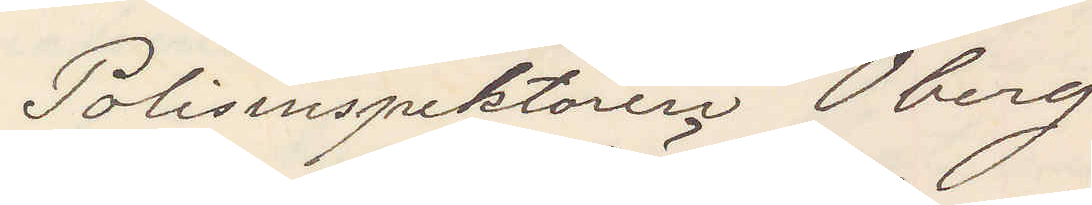Polisinspektören Öberg
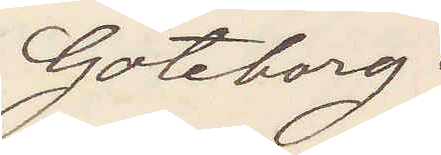Göteborg
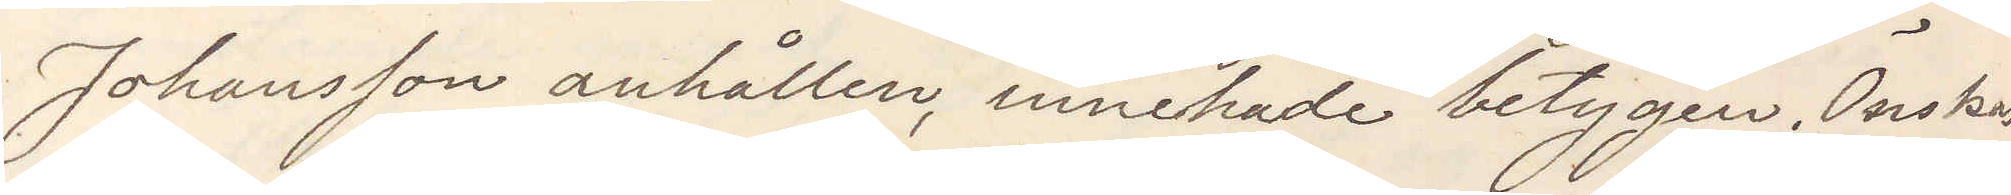Johansson anhållen, innehade betygen. Önskas
